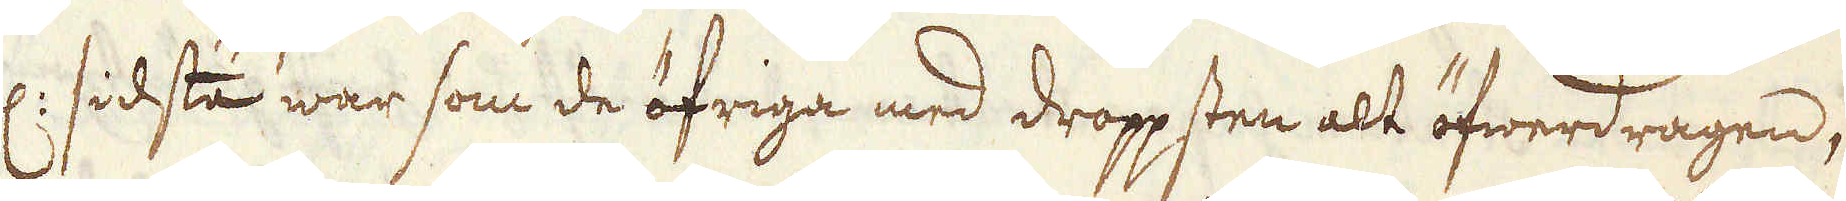ell: sidsta war som de öfriga med droppsten alt öfwerdragen,
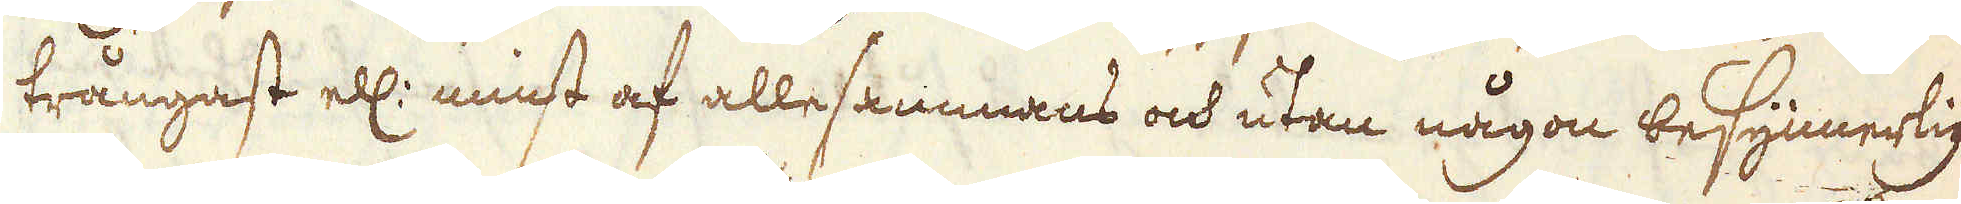trångast ell: minst af allesammans och utan någon besynnerlig
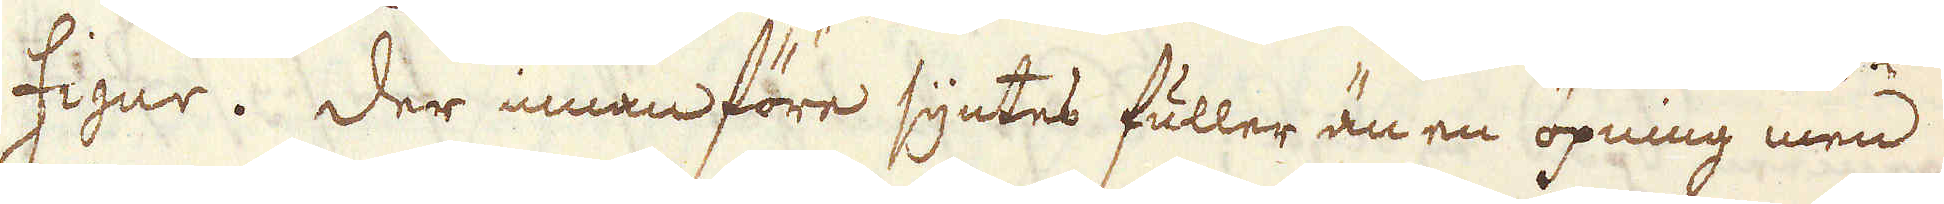figur. Der innan före syntes fuller än en öpning men
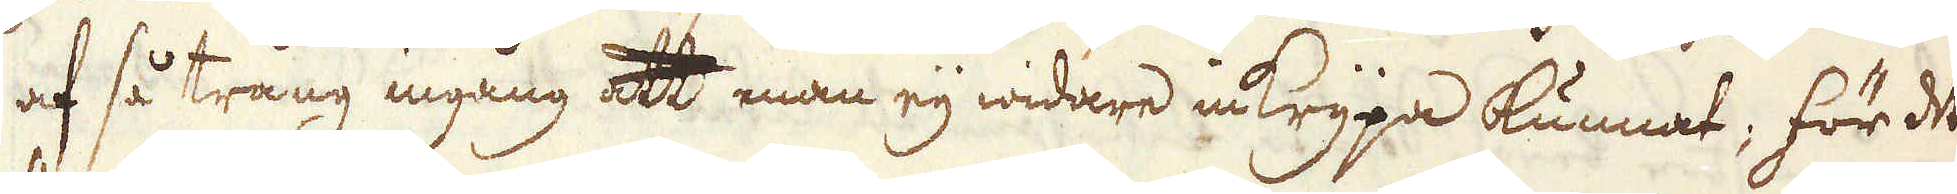af så trång ingång att man eij widare inkrypa kunnat; för det
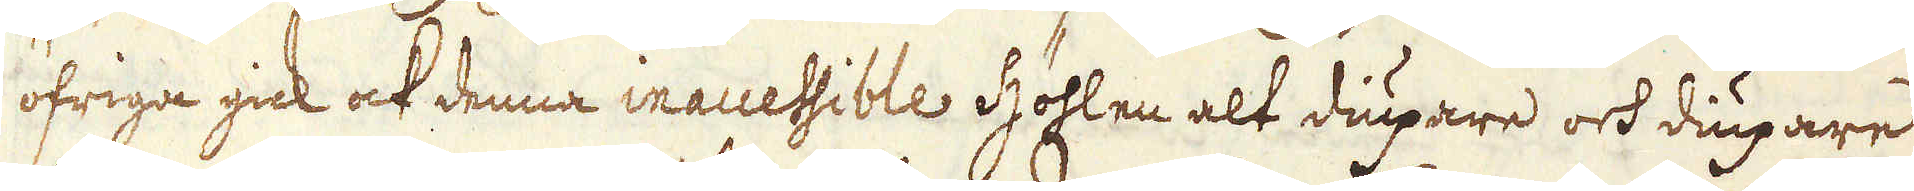öfriga gick ock denna inaccessible Höhlen alt diupare och diupare
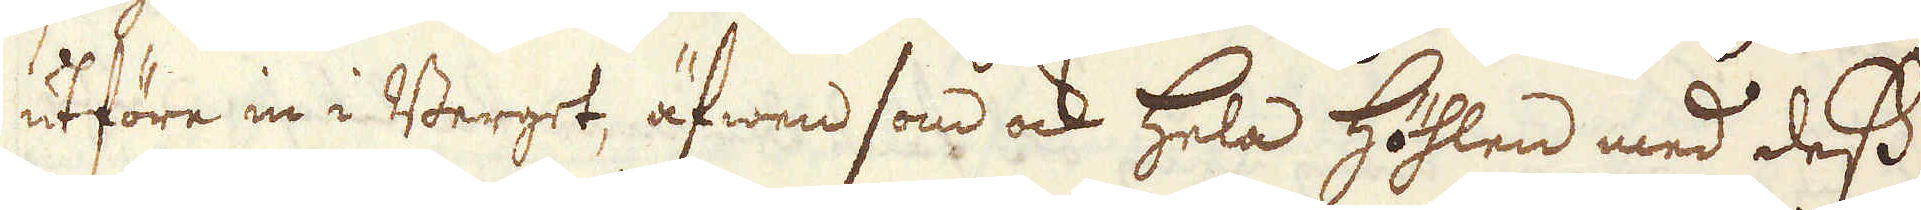utföre in i Berget, äfwen som ock hela Höhlen med dess
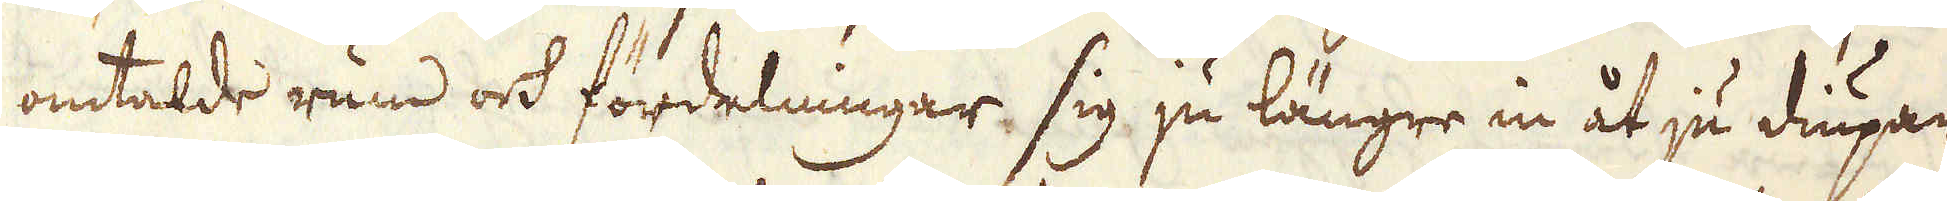omtalde rum och fördelningar sig ju längre in åt ju diupare
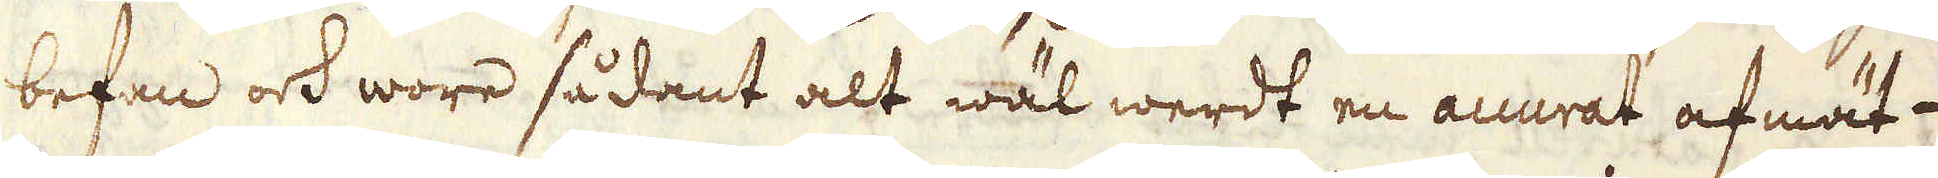befan och wore sådant alt wäl werdt en accurat afmät-
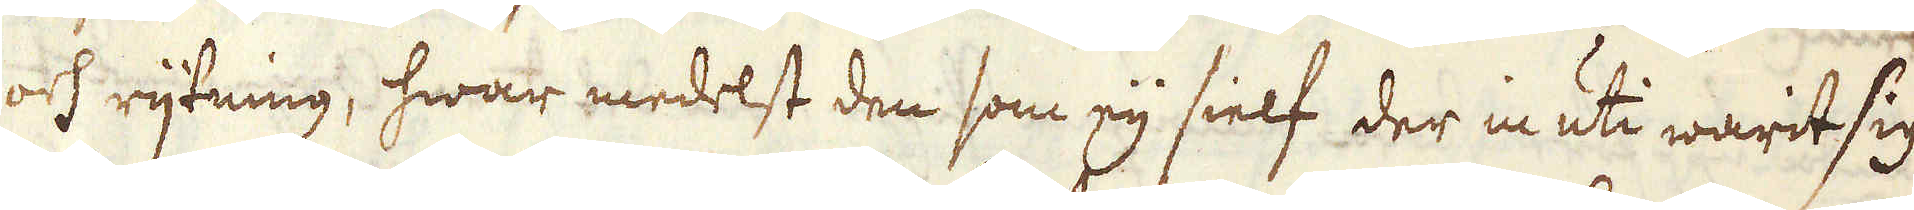och rijtning, hwar medelst den som eij sielf der inuti warit sig
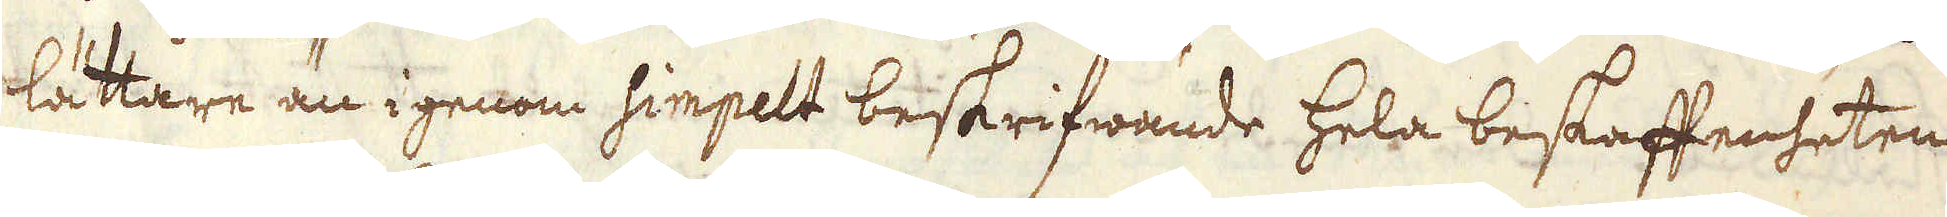lättare än igenom simpelt beskrifwande hela beskaffenheten
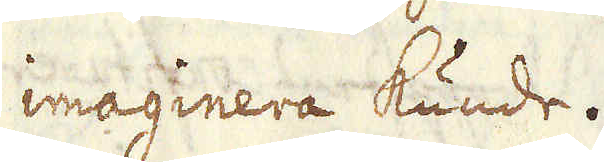imaginera kunde.
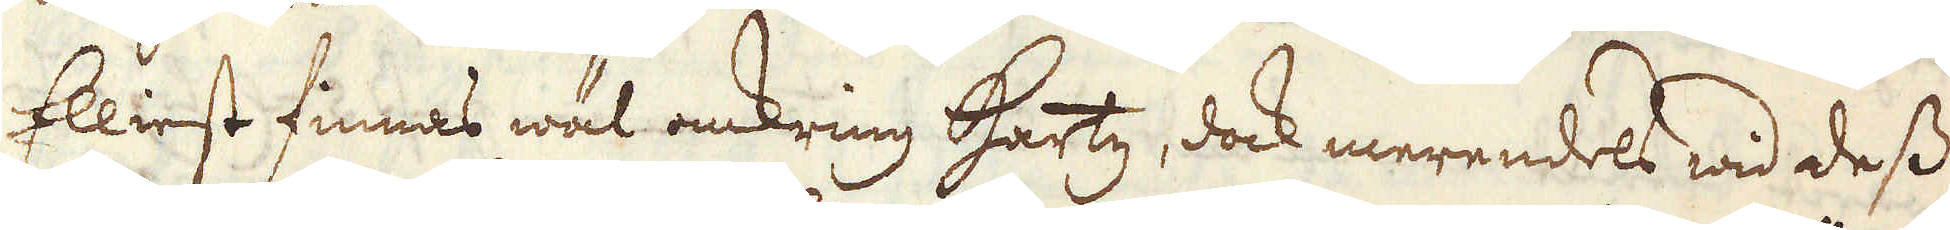Elliest finnas wäl omkring Hartz, dock merendels wid dess
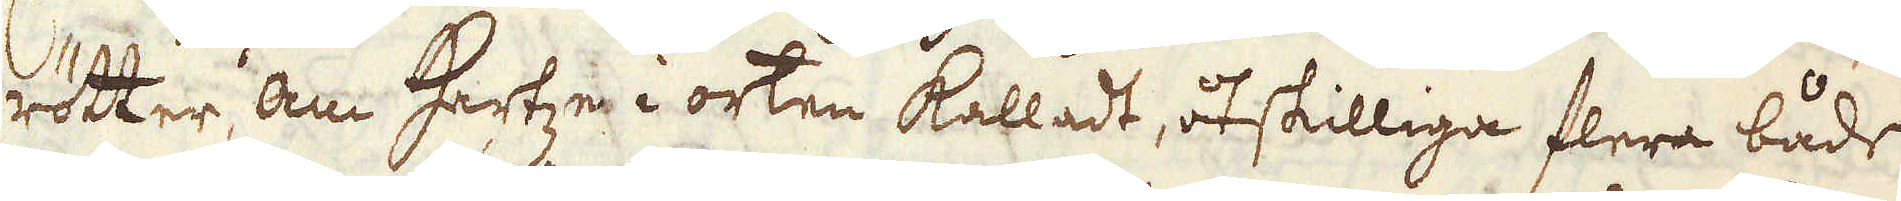rötter, om Hartze i orten kalladt, åtskilliga flera både
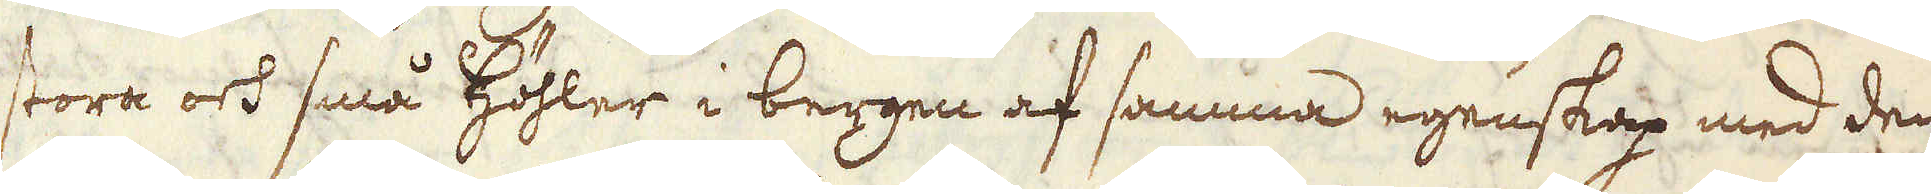stora och små Höhler i bergen af samma egenskap med den
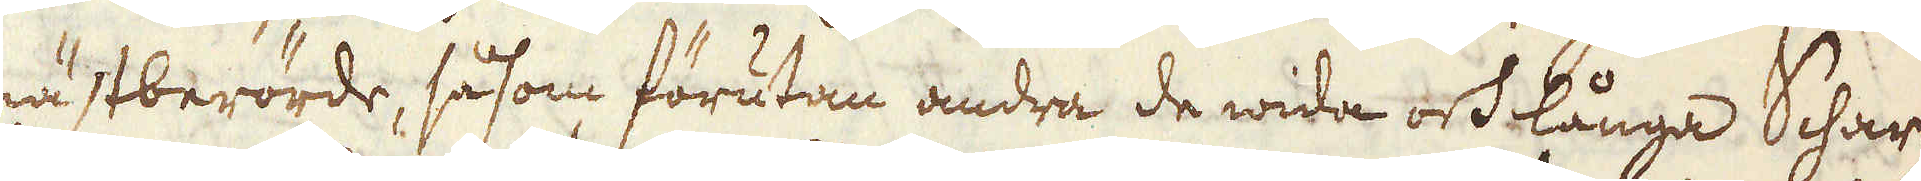nästberörde, så som förutan andra de wida och långa Schartz-
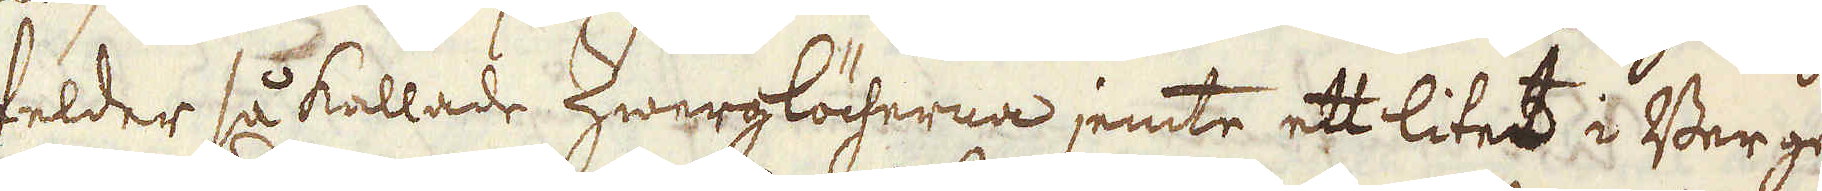felder så kallade Zwerglöcherna jemte ett litet i Berget
